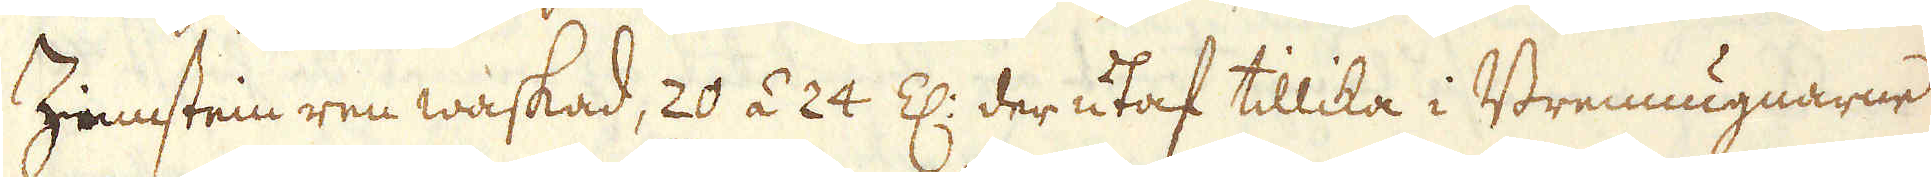Zimstein ren waskad, 20 á 24 Z: der utaf tillika i Brennugnarne
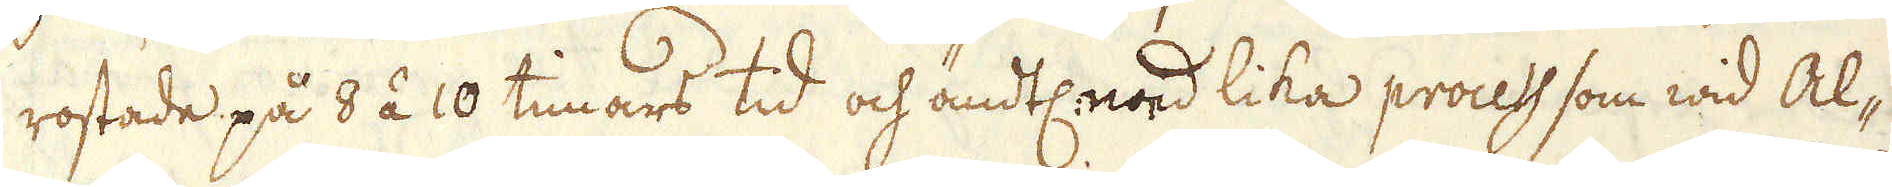rostade på 8 á 10 timars tid och ändtl: med lika process som wid Al-
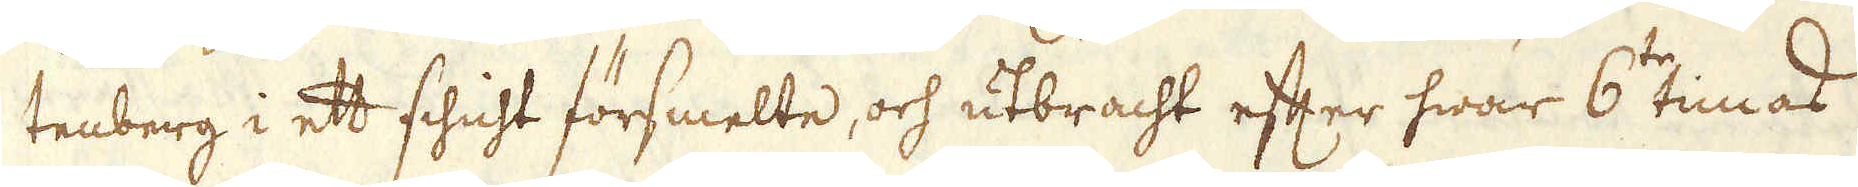tenberg i ett schicht försmelte, och utbracht efter hwar 6 timas
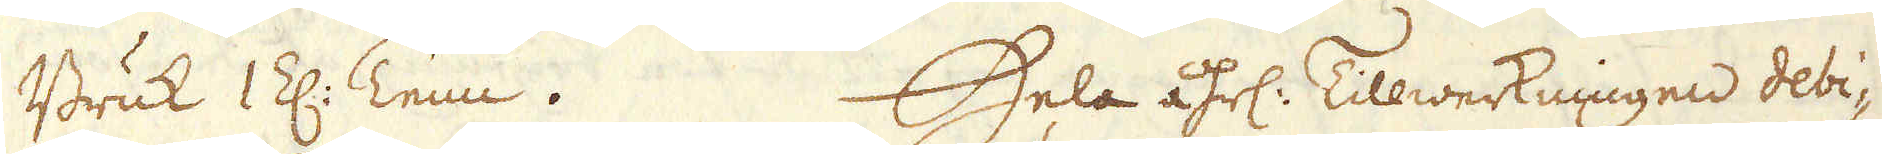Bruk 1 Z:n Tenn. Hela åhrl: Tillwerkningen debi-
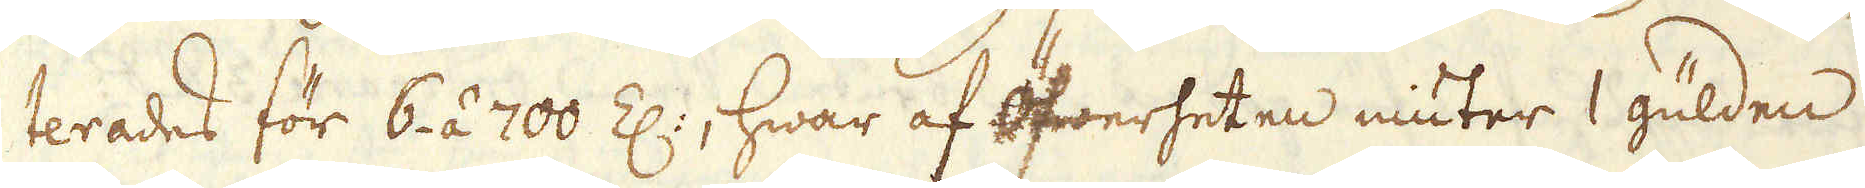terades för 6: á 700 Z:, hwar af öfwerheten niuter 1 gülden
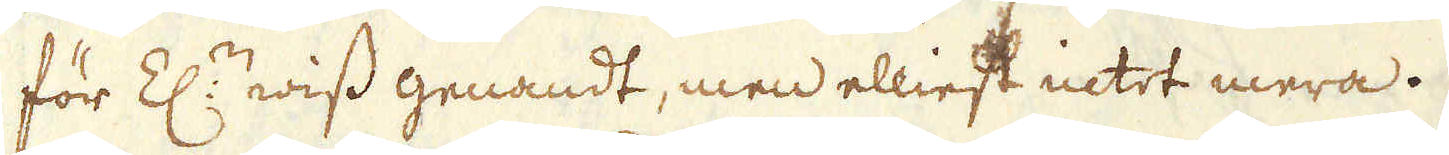för Z:n wiss genandt, men elliest intet mera.
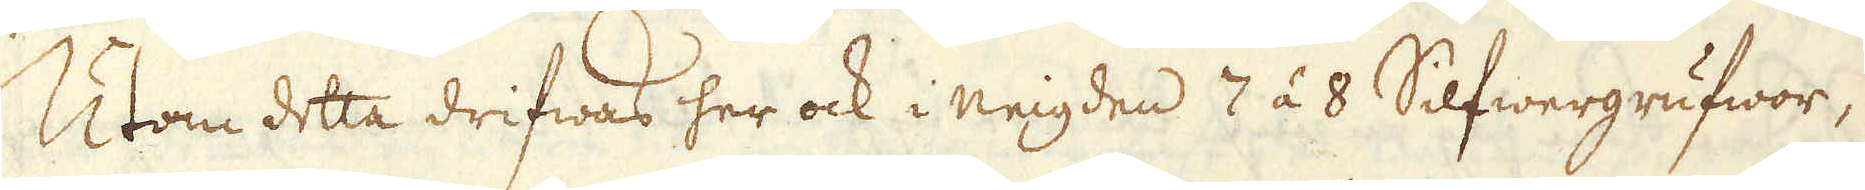Utom detta drifwas her ock i neigden 7 á 8 Silfwergrufwor,
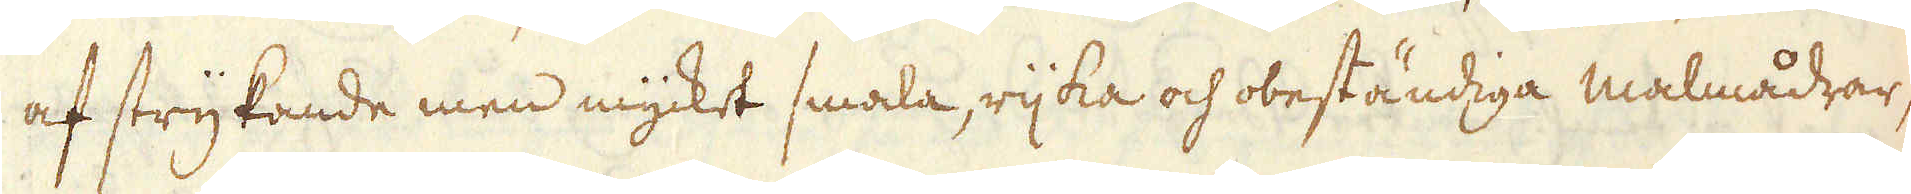af strykande men mycket smala, rijka och obeständiga malmådrar,
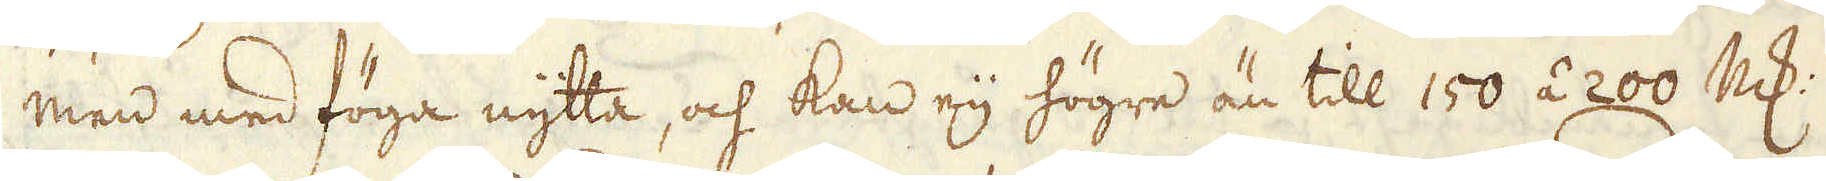men med föga nytta, och kan eij högre än till 150 á 200 marker
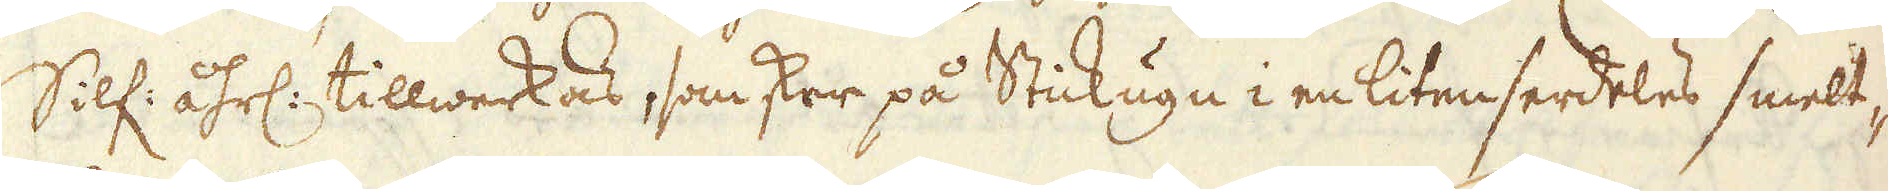Silf: åhrl: tillwerkas, som sker på Stickugn i en liten serdeles smelt-
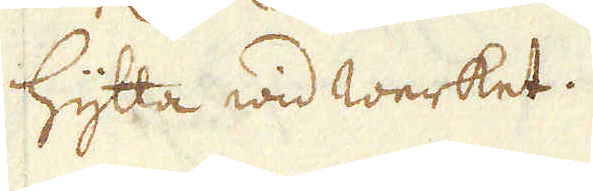hytta wid werket.
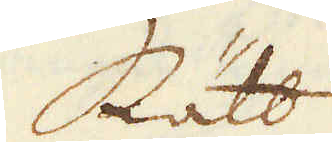Rätt
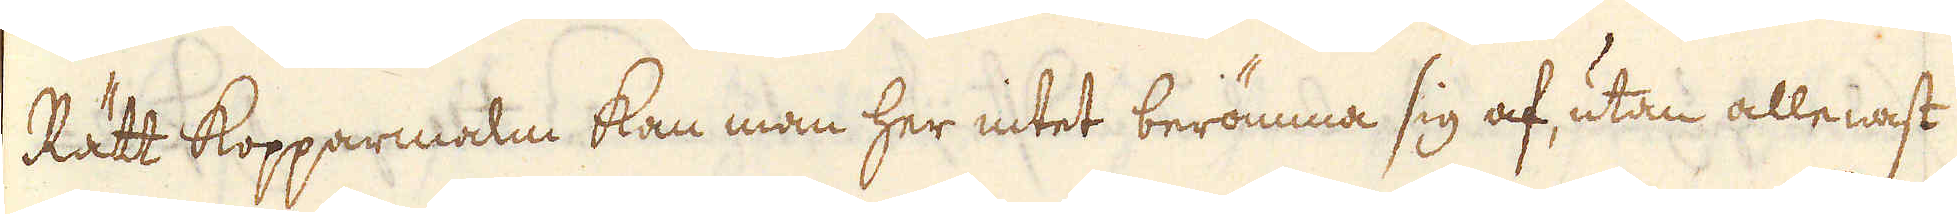Rätt Kopparmalm kan man her intet berömma sig af, utan allenast
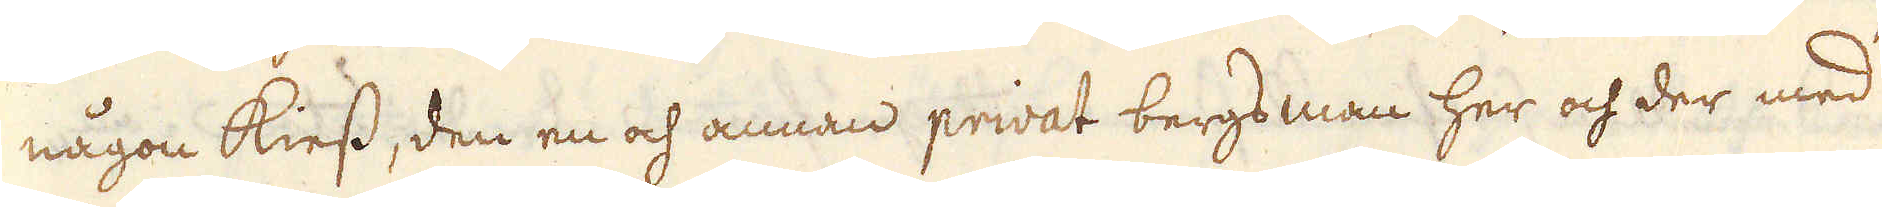någon kiess, den en och annan privat bergsman her och der med
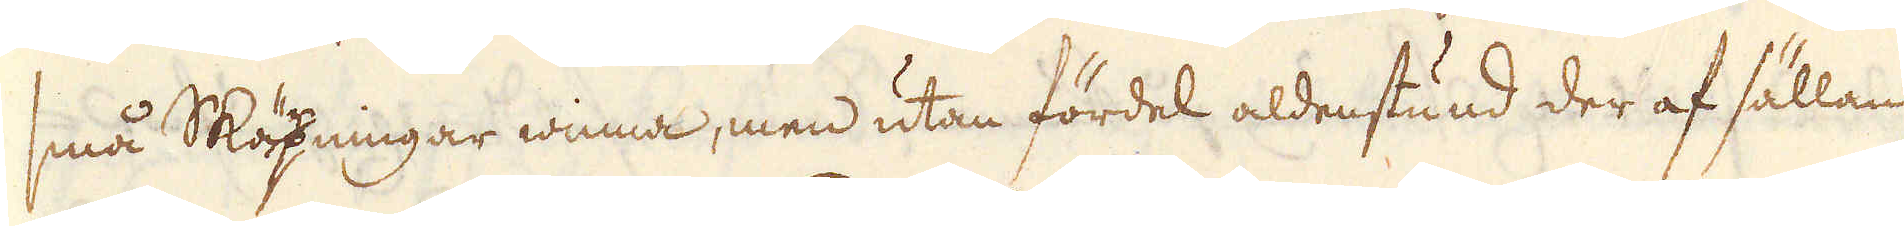små Skärningar winna, men utan fördel aldenstund der af sällan
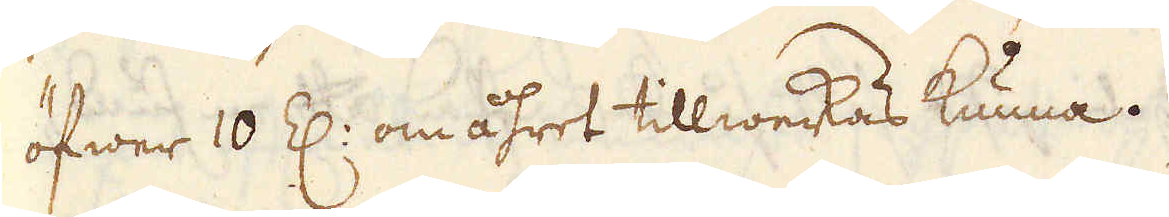öfwer 10 Z: om åhret tillwerkas kunna.
